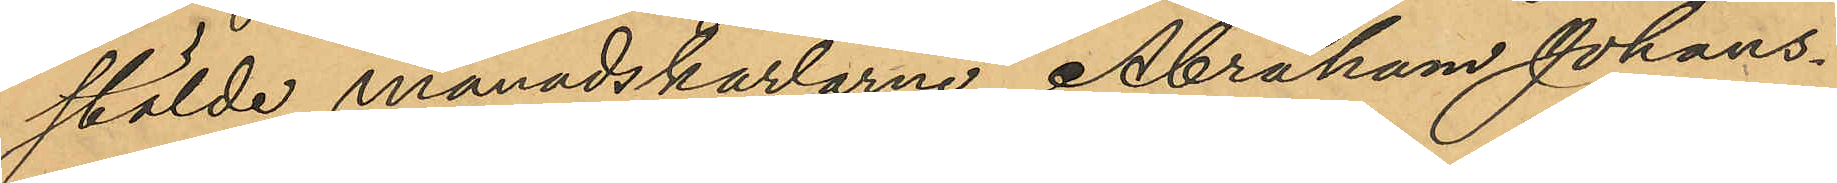stälde månadskarlarne Abraham Johans¬
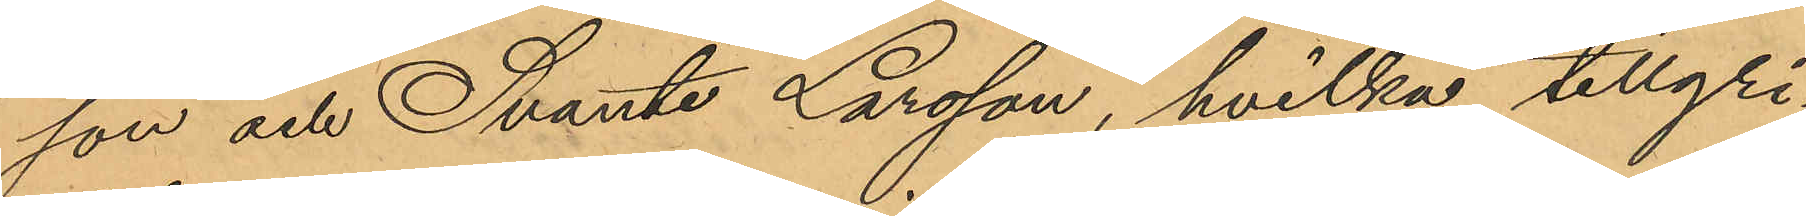son och Svante Larsson, hvilka tillgri¬
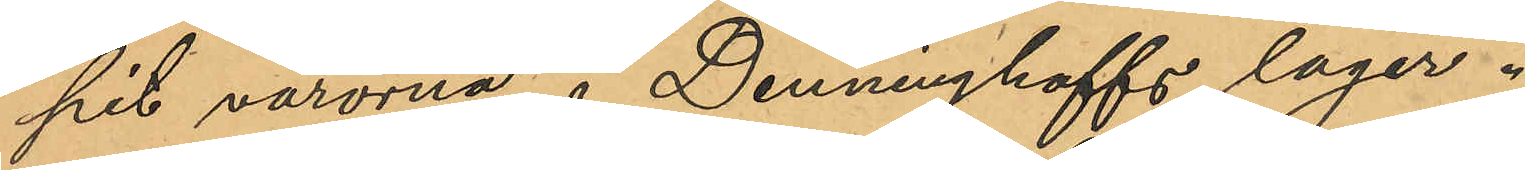pit varorna å Denninghoffs lager.
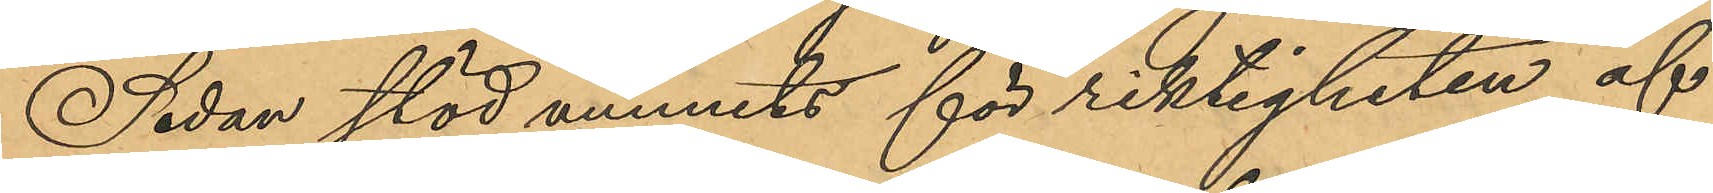Sedan stöd vunnits för riktigheten af
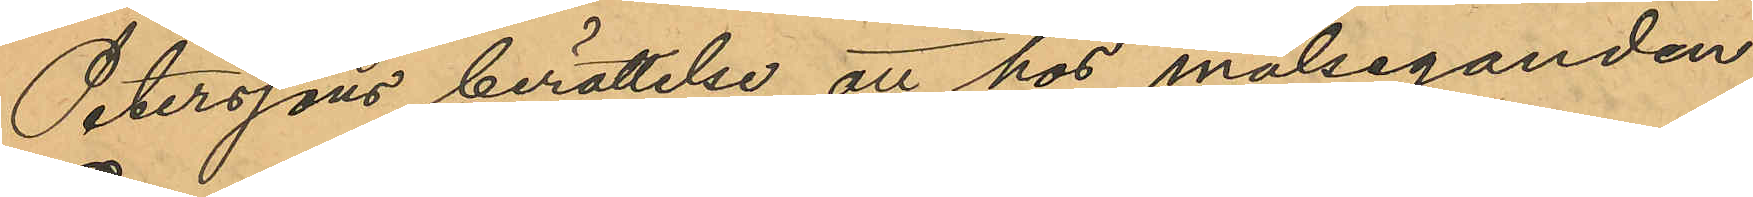Peterssons berättelse att hos målseganden
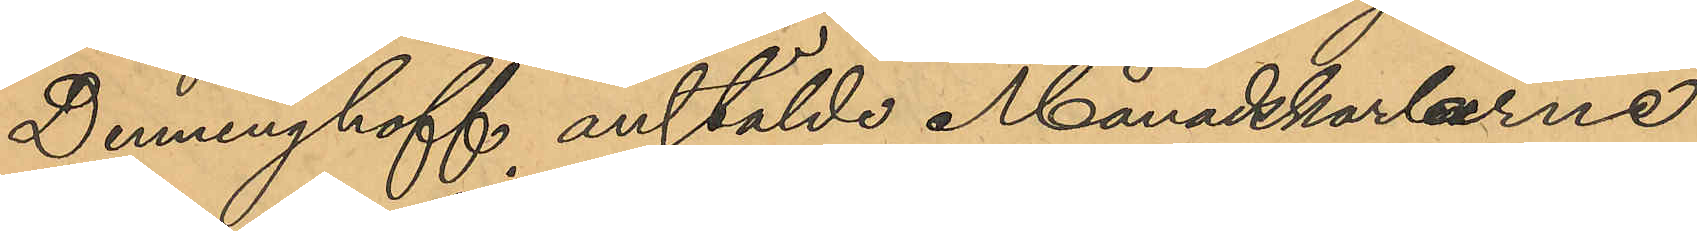Denninghoff anstälde Månadskarlarne
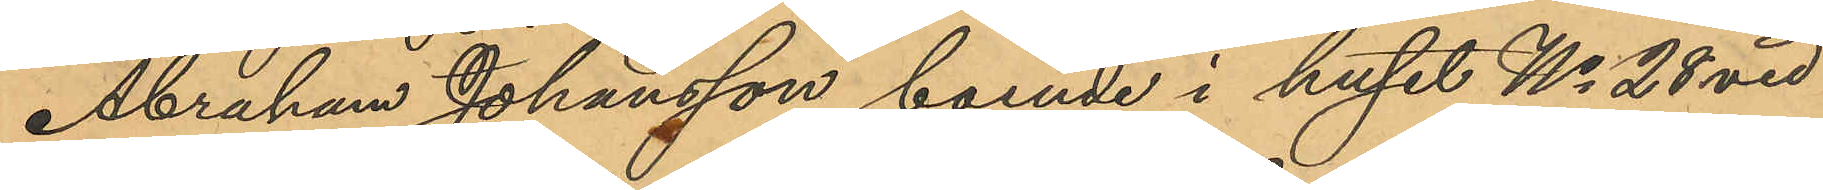Abraham Johansson boende i huset No 28 vid
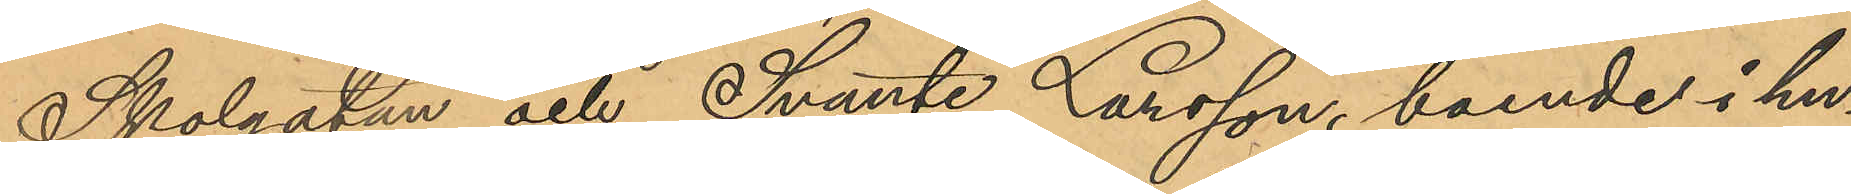Skolgatan och Svante Larsson, boende i hu¬
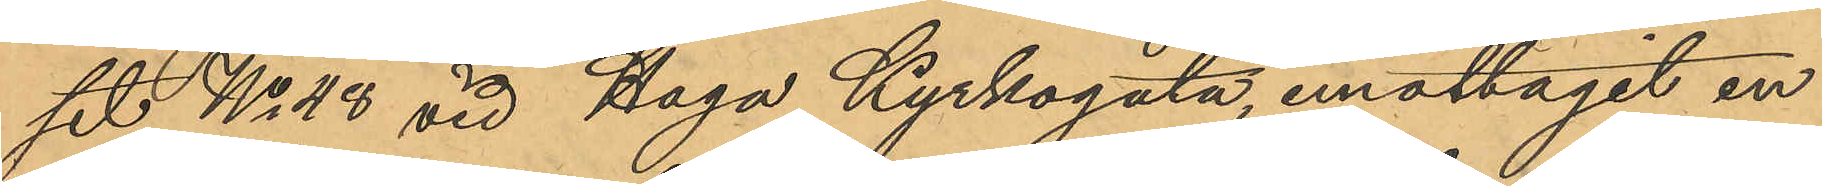set No 48 vid Haga Kyrkogata, emottagit en
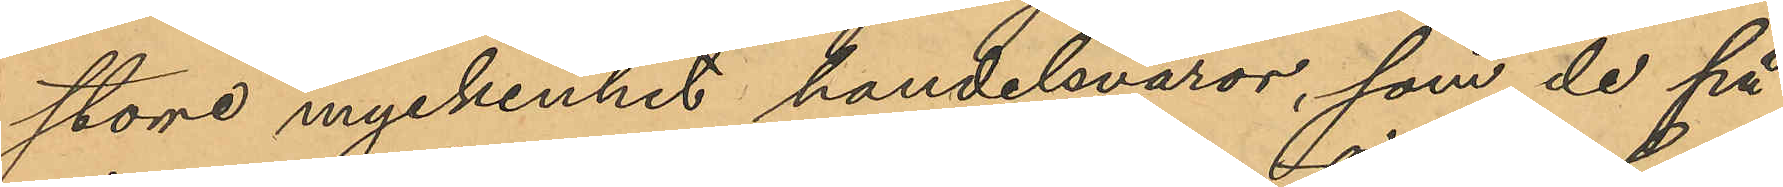större myckenhet handelsvaror, som de på
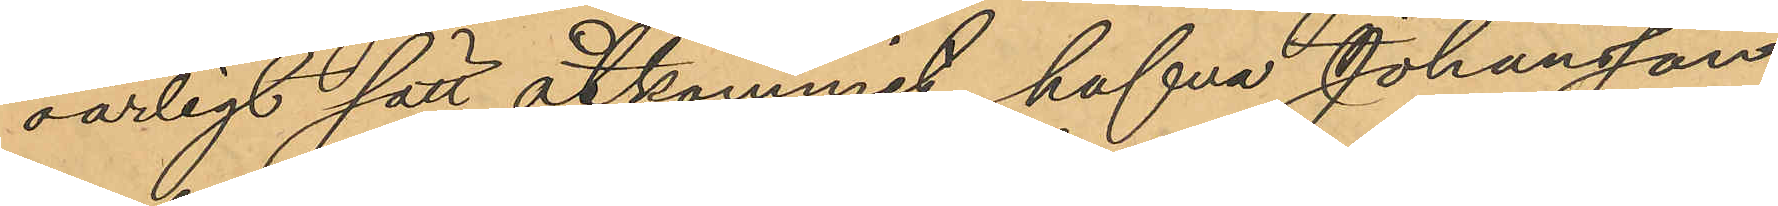oärligt sätt åtkommit, hafva Johansson
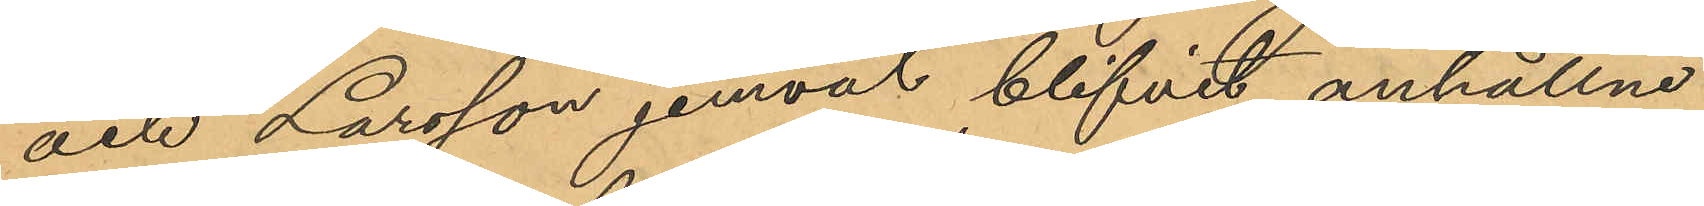och Larsson jemväl blifvit anhållne.
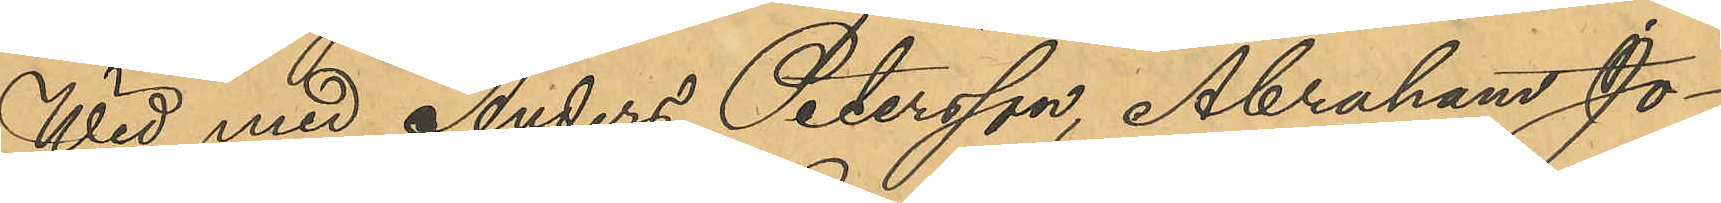Wid med Anders Petersson, Abraham Jo¬
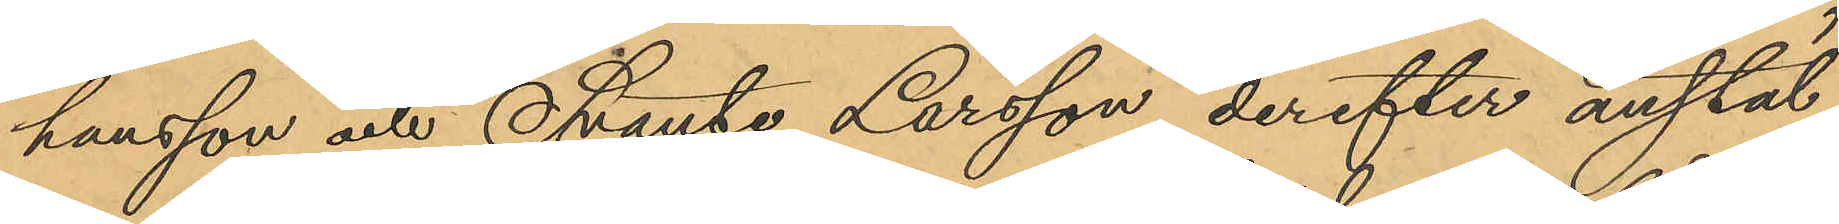hansson och Svante Larsson derefter anstäl¬
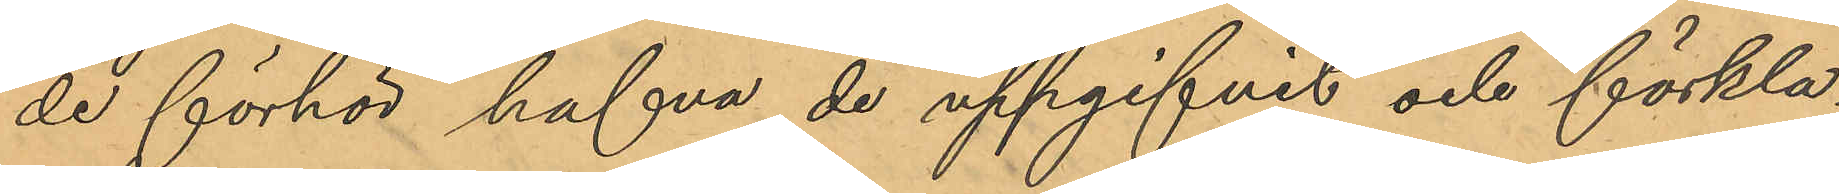de förhör hafva de uppgifvit och förkla¬
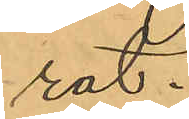rat:
